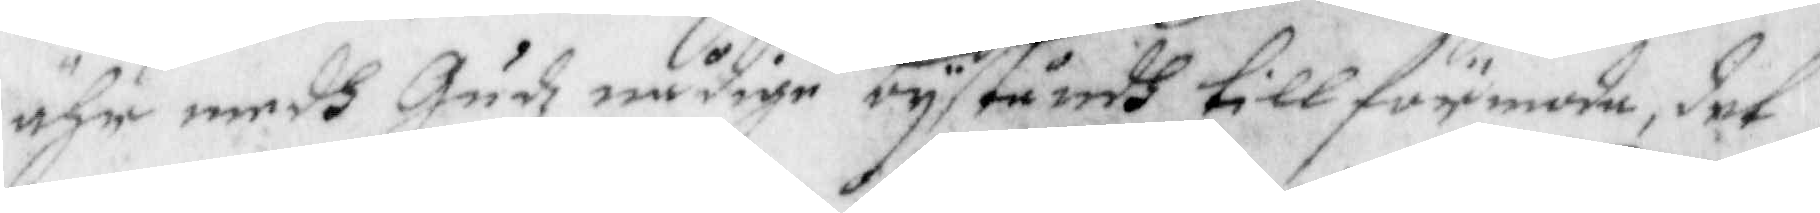ähr medh Gudz nåfige byståndh till förmode, det
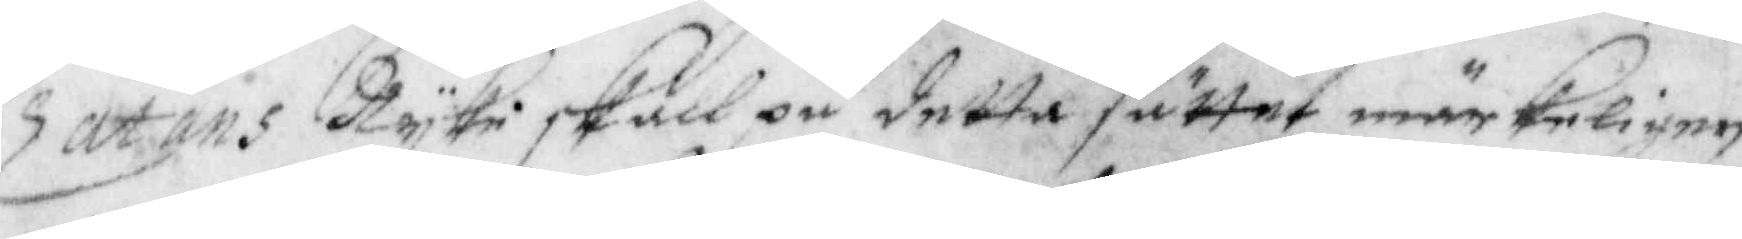Zatans ryke skall på detta sättet wärkeligen
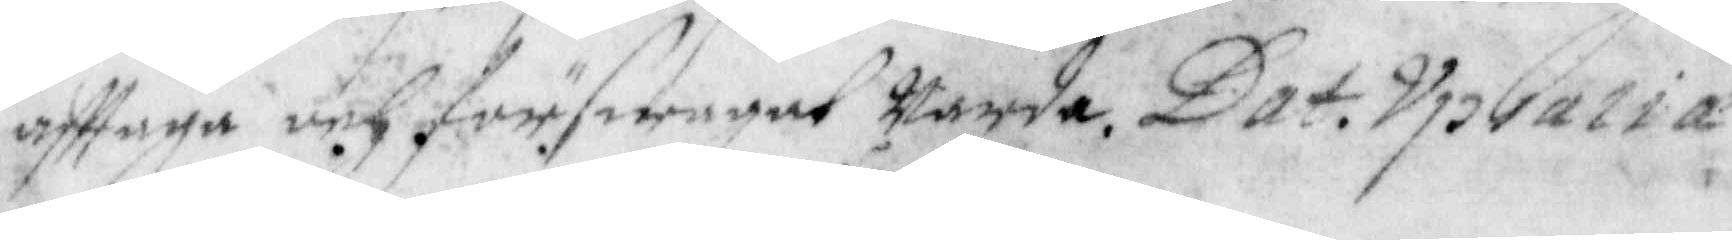afttaga och förswagat warda. Dat Upsalia
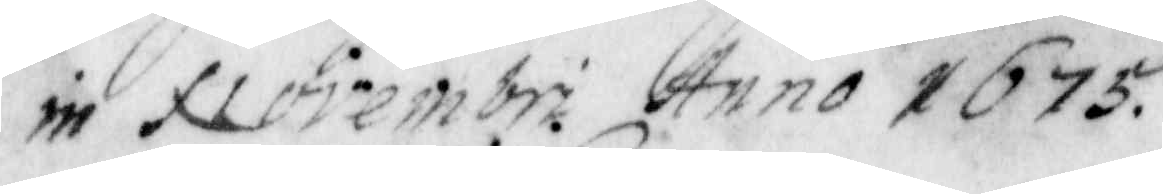in Novemberi Anno 1675.
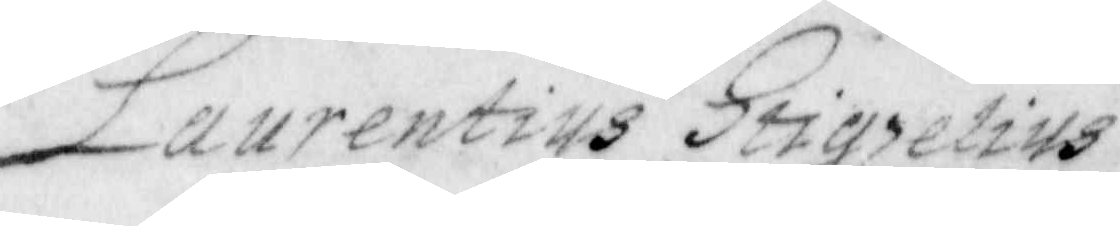Laurentius Stigzelius
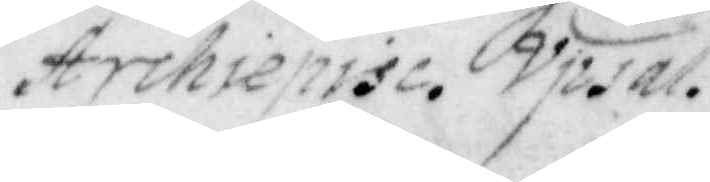Archiepisc. Upsal.
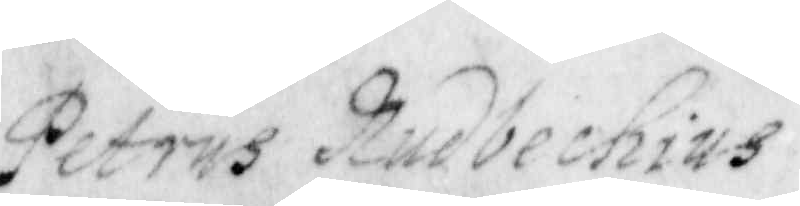Petrus Rudbechius 
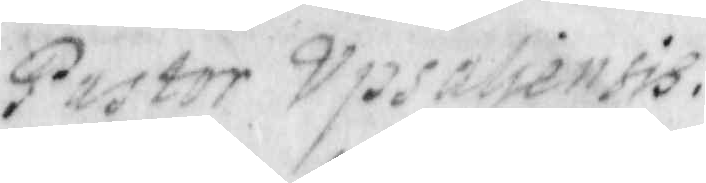Pastor Upsaliensis 
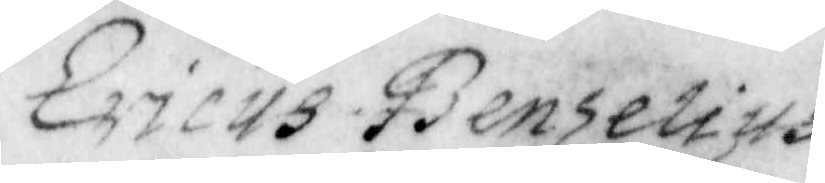 Ericus Benzelius
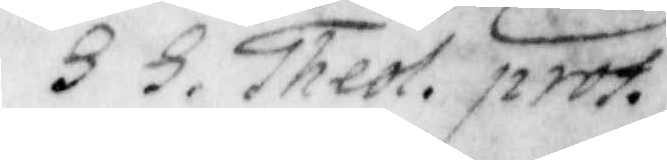S. S. Theol. prot.
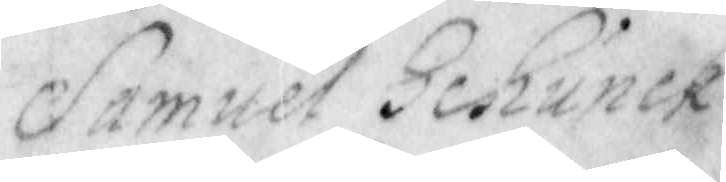Samuel Schunck
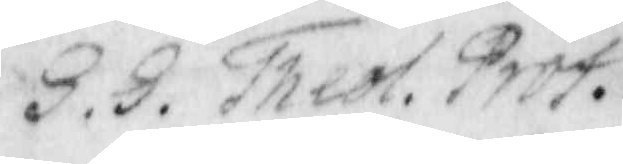S. S. Theol. prof.
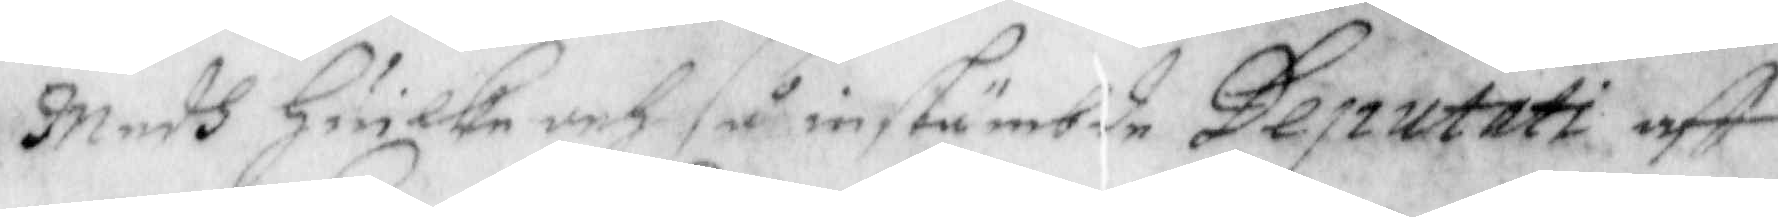Medh Huilka och så instämbde Deputati aff
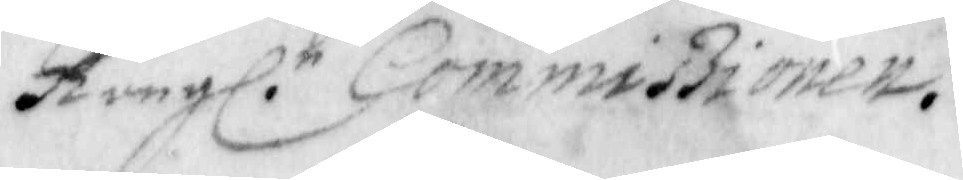Kongl. r Commißionen.
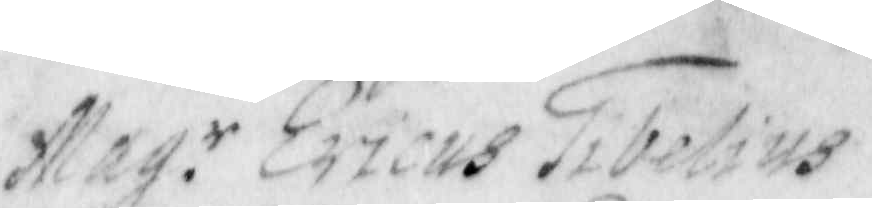Mag.r Ericus Tibelius
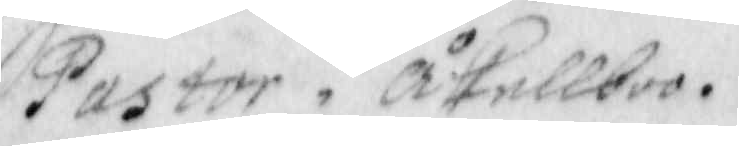Pastor i Åkellboo
